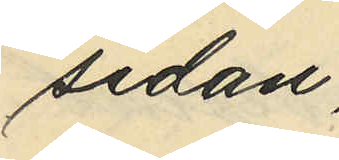sidan;
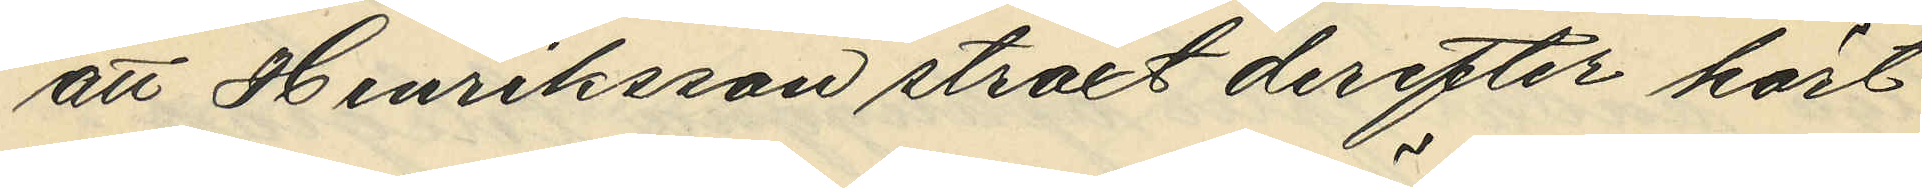att Henriksson straxt derefter hört
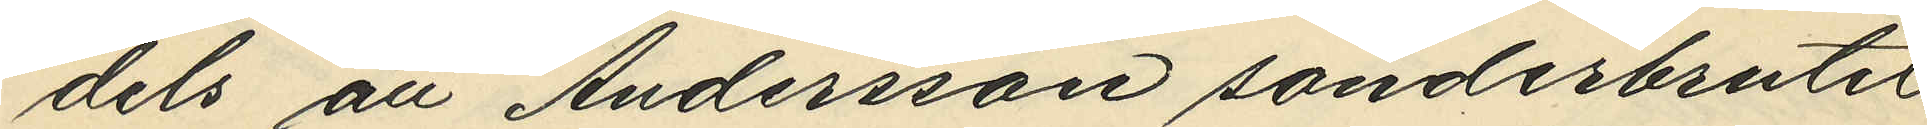dels att Andersson sönderbrutit
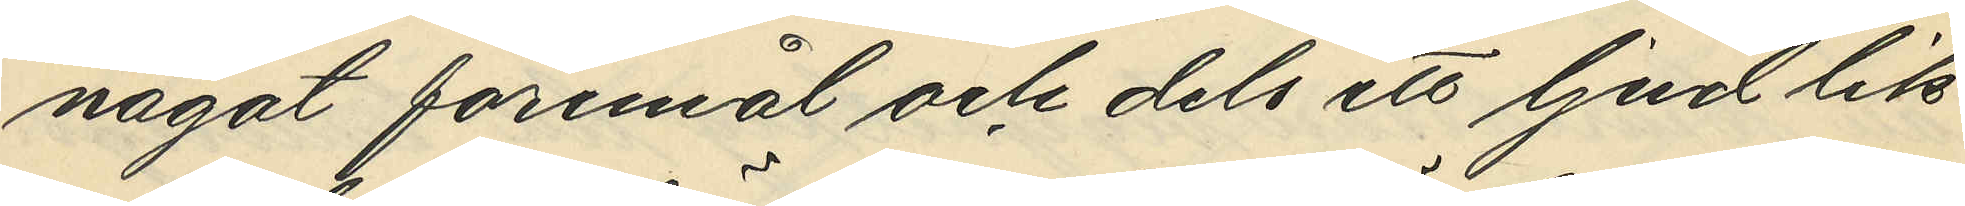något föremål och dels ett ljud lik¬
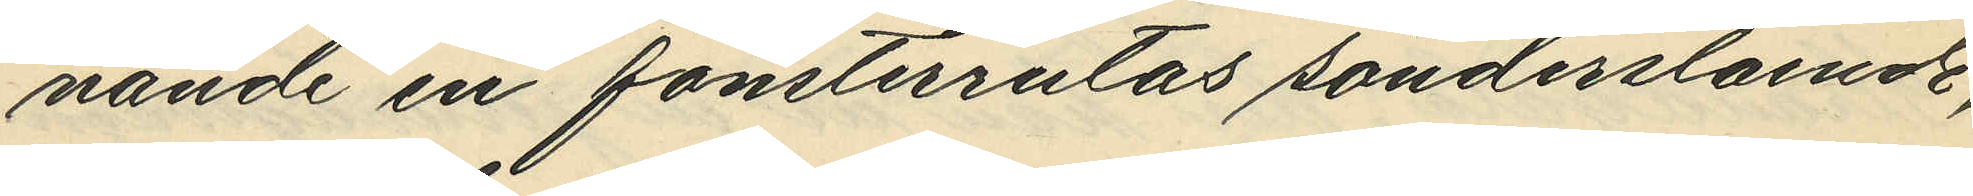nande en fönsterrutas sönderslående,
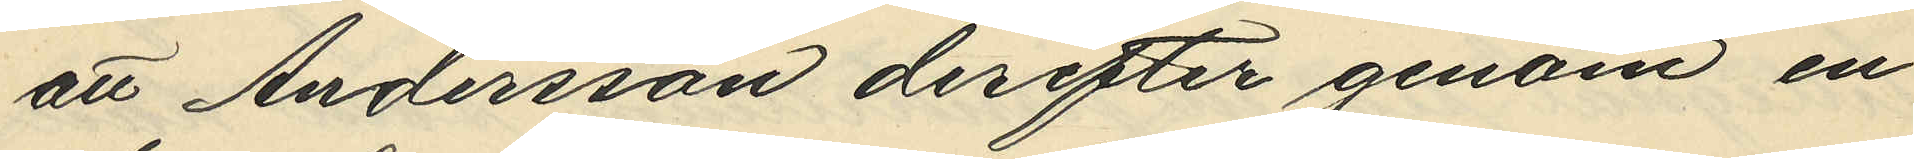att Andersson derefter genom en
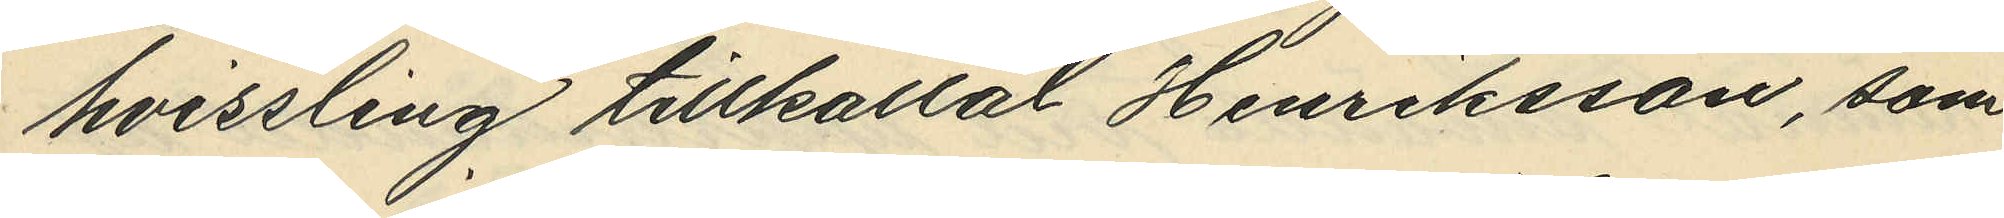hvissling tillkallat Henriksson, som
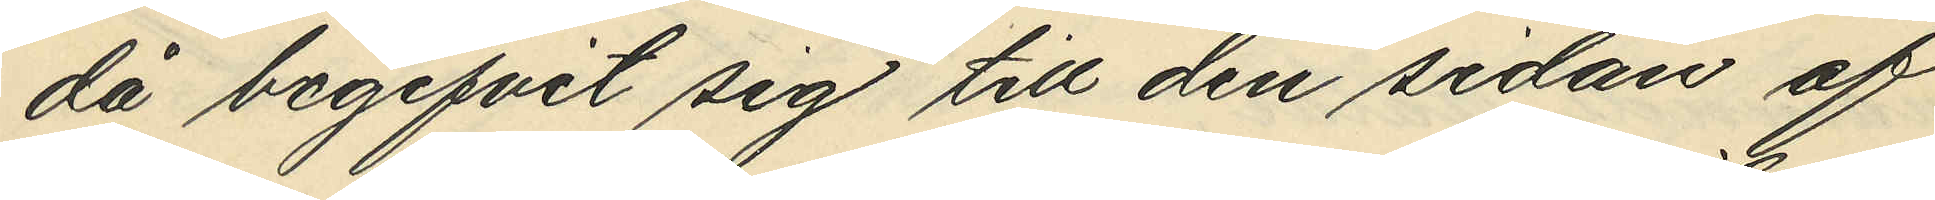då begifvit sig till den sidan af
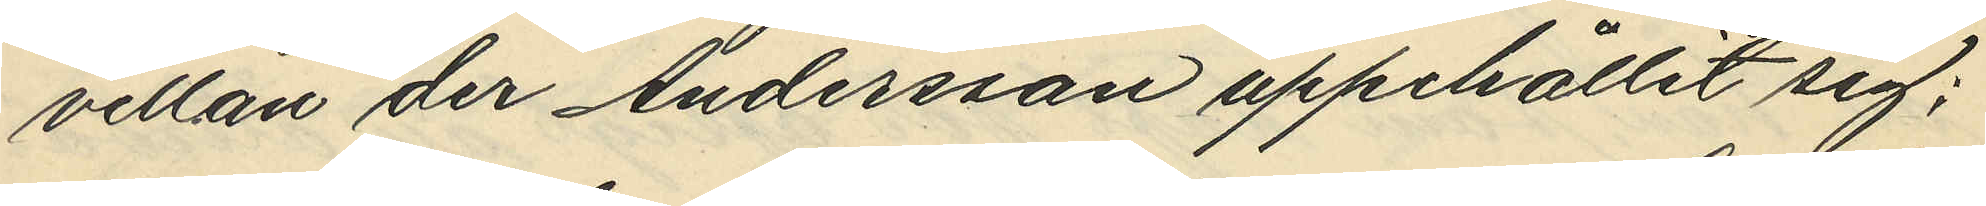villan der Andersson uppehållit sig;
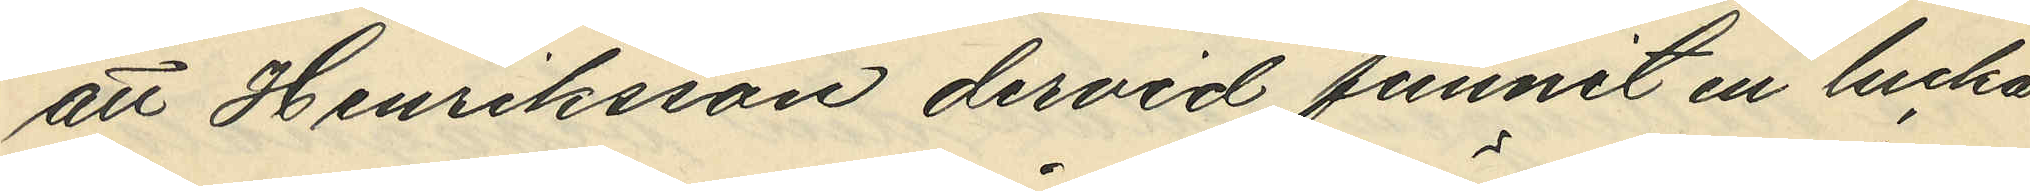att Henriksson dervid funnit en lucka
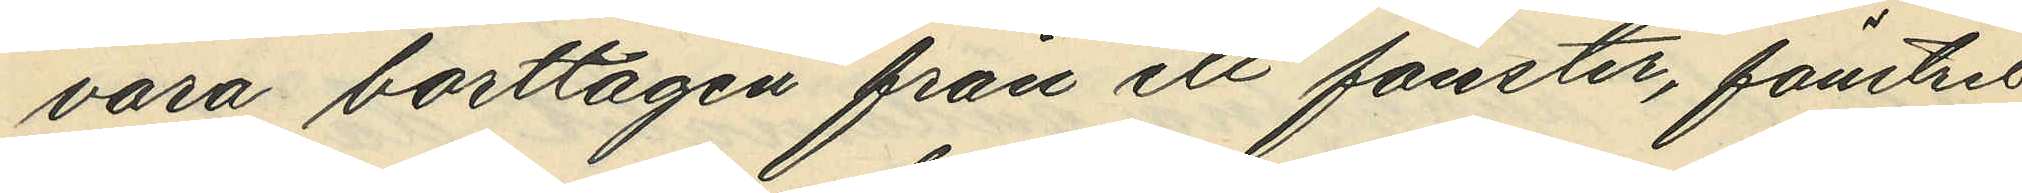vara borttagen från ett fönster, fönstret
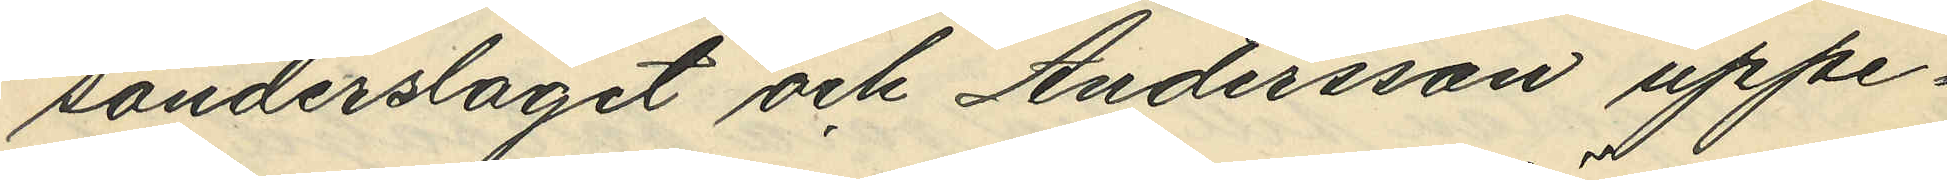sönderslaget och Andersson uppe¬
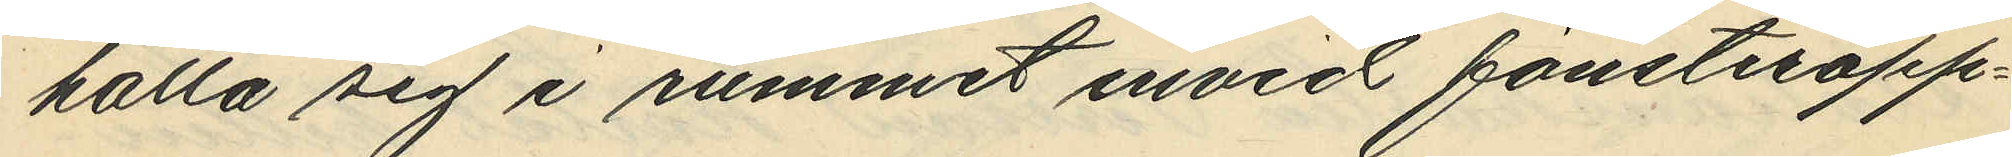hålla sig i rummet invid fönsteröpp¬
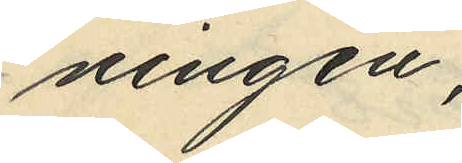ningen;
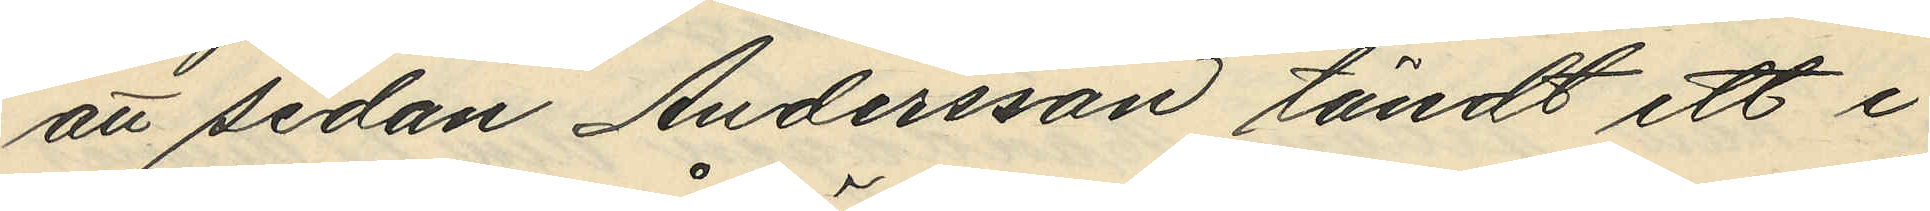att sedan Andersson tändt ett i
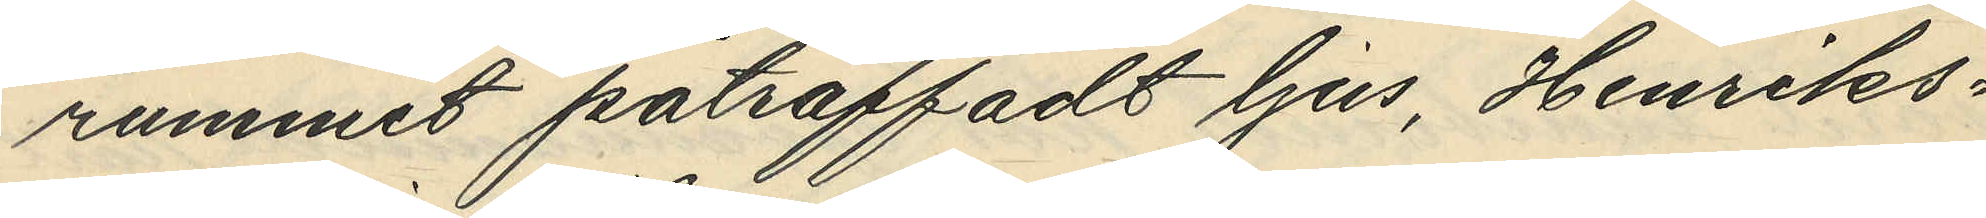rummet påträffadt ljus, Henriks¬
